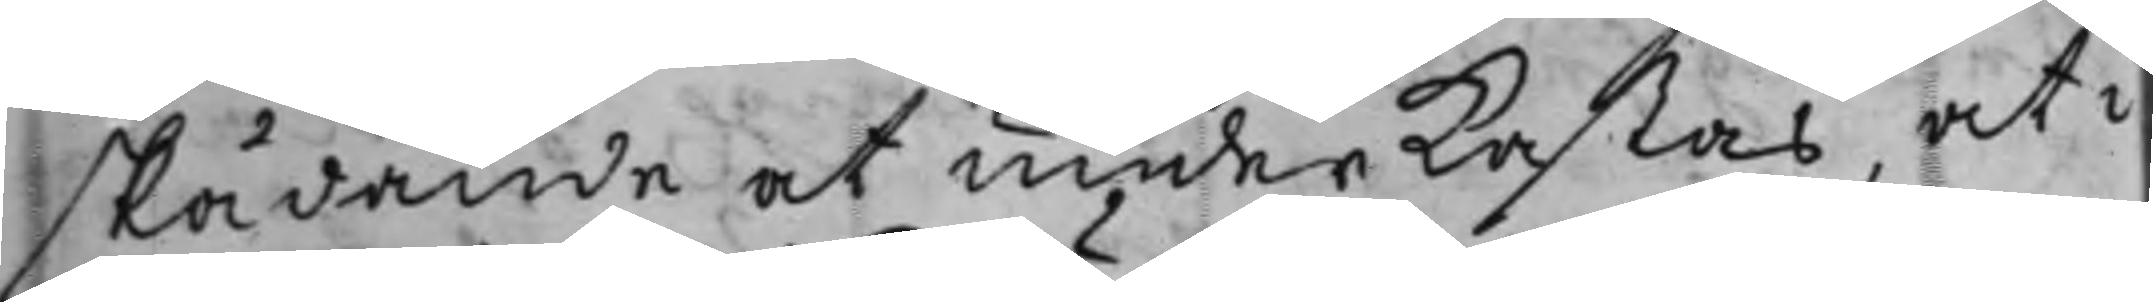skådande at underkastas, at i
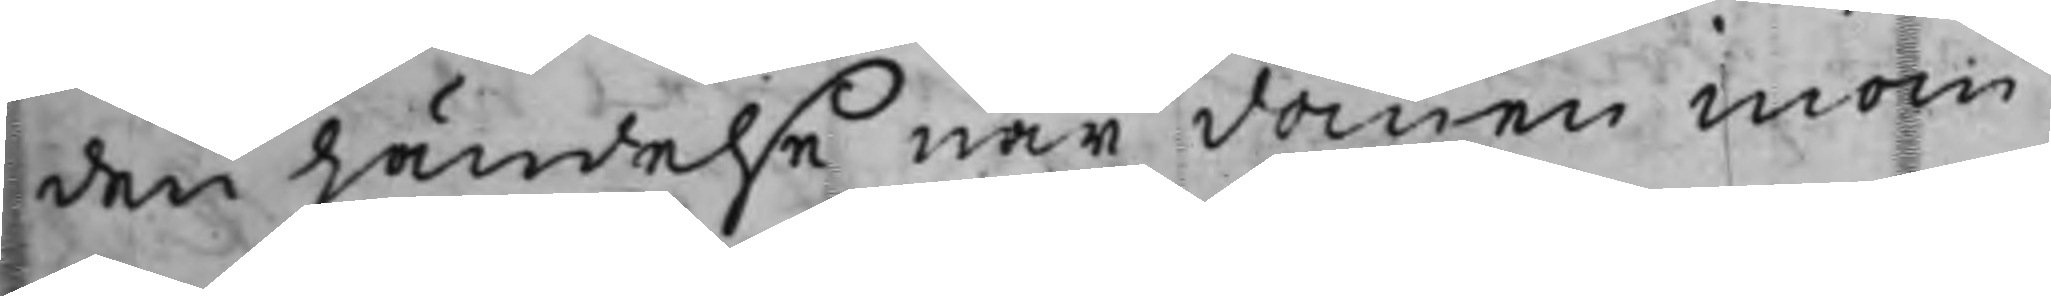den händelse när domen inom
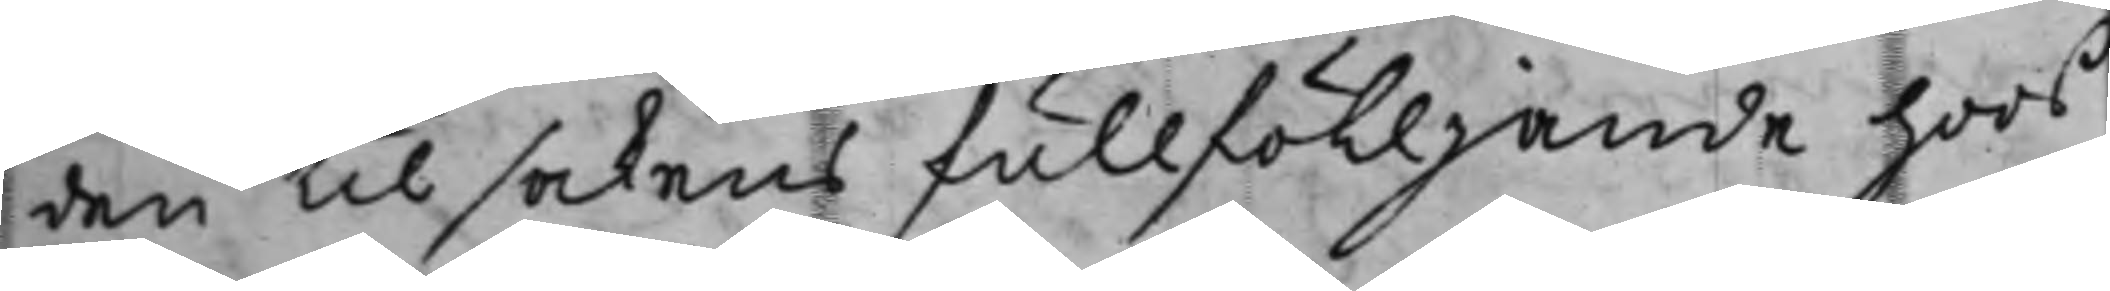den til sakens fullfölljande hoos
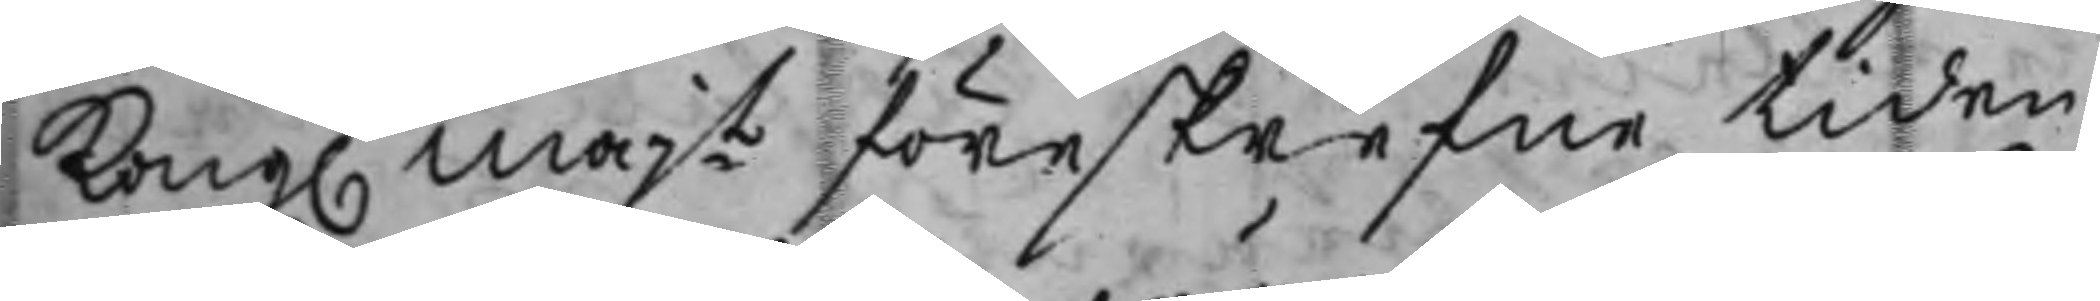Kong. Majt föreskrefne tiden
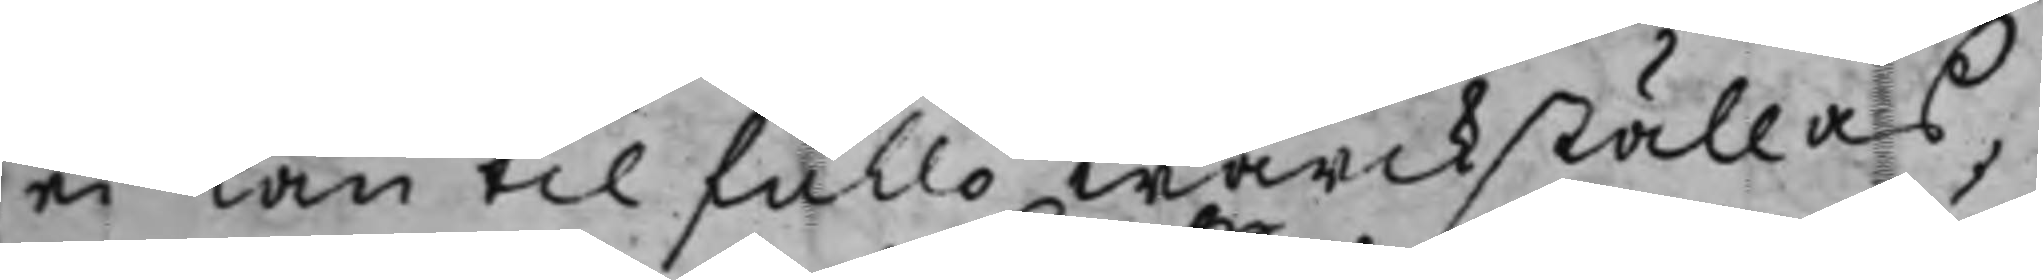ei kan til fullo wärckställas
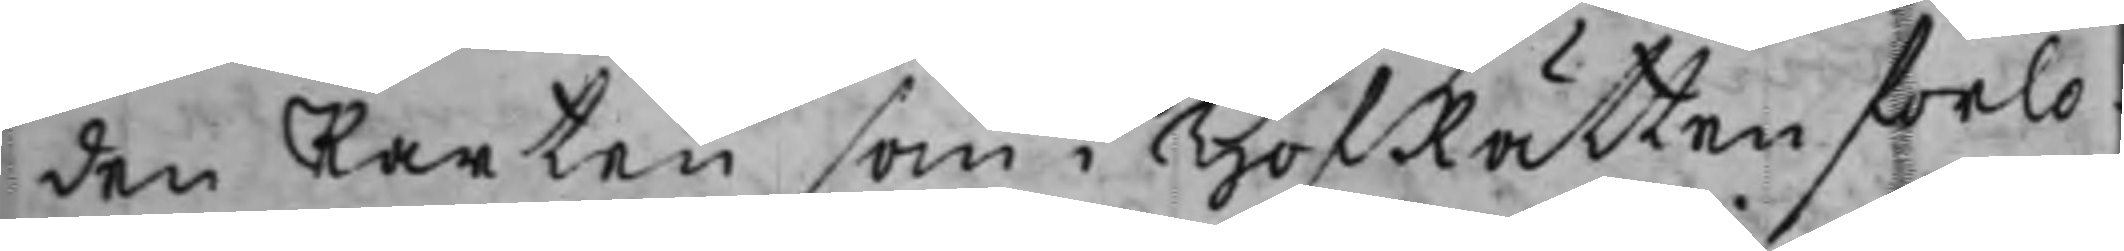den Parten som i HofRätten förlo¬
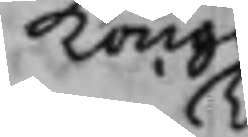Kong. 
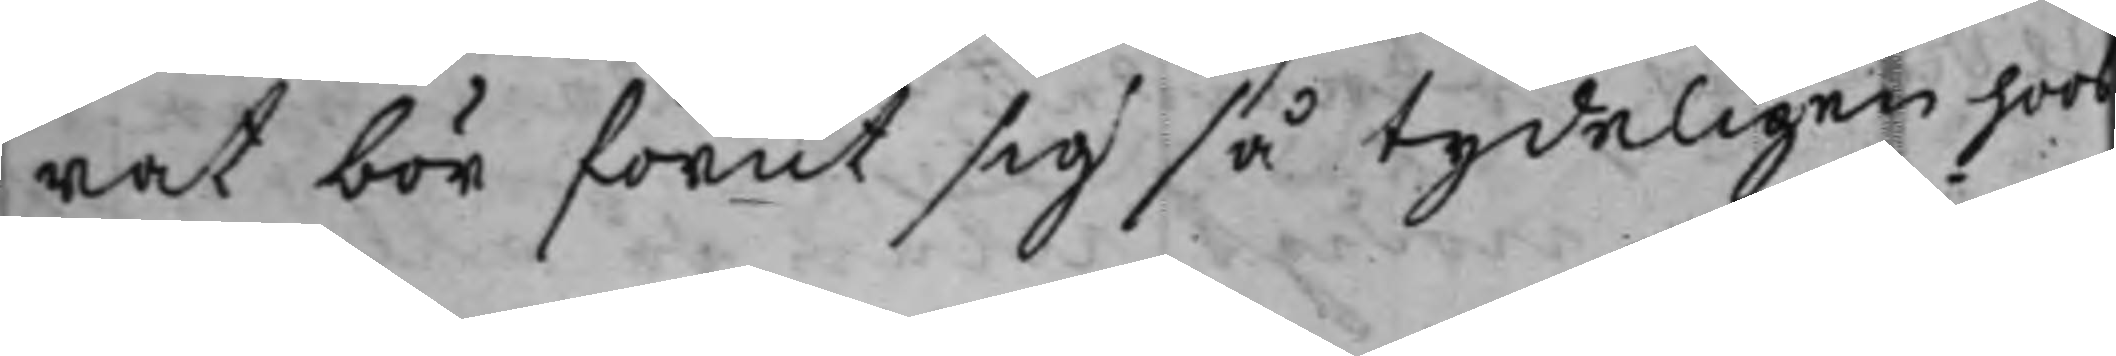rat bör förut sig så tydeligen hoos
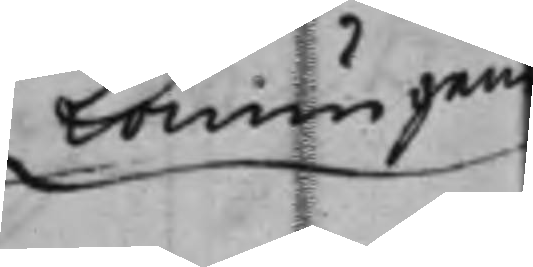Konungens
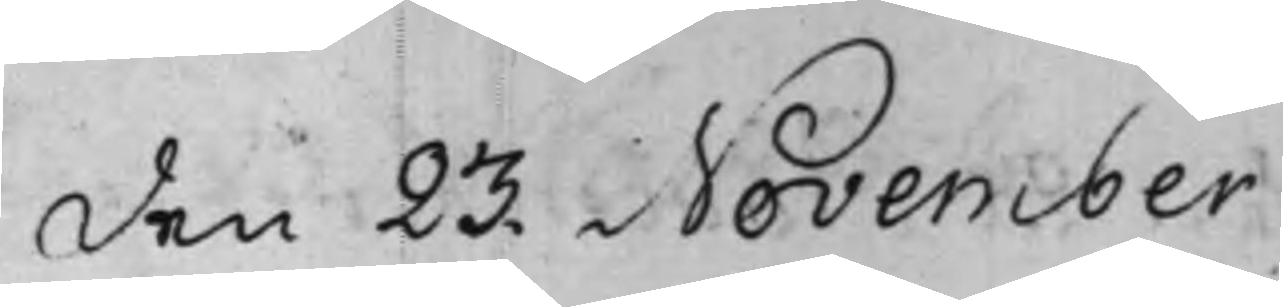den 23. November
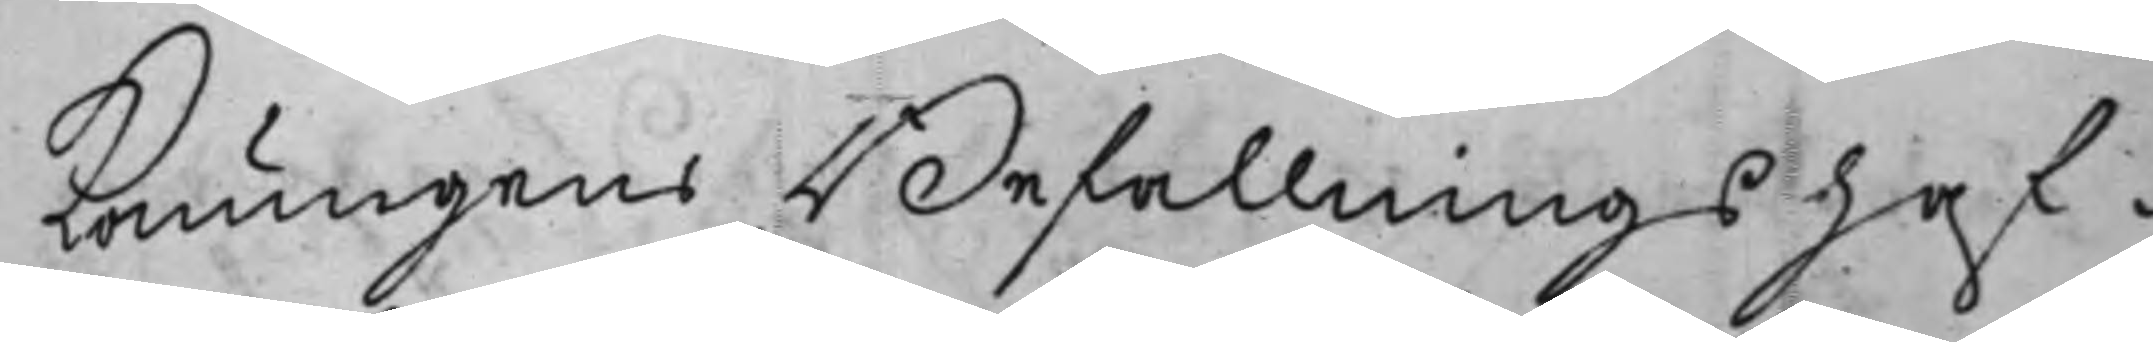Konungens Befallningshaf¬
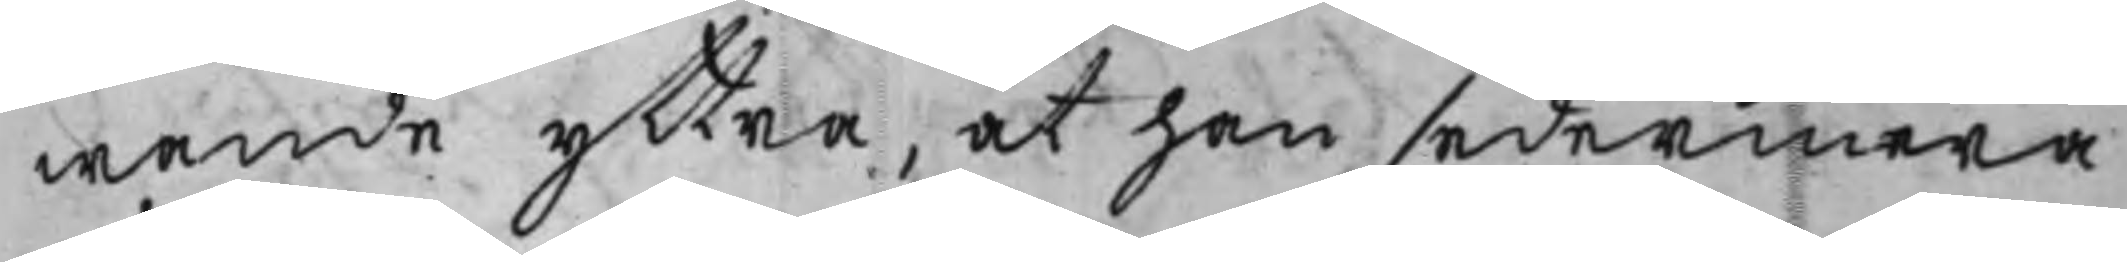wande yttra, at han sedermera
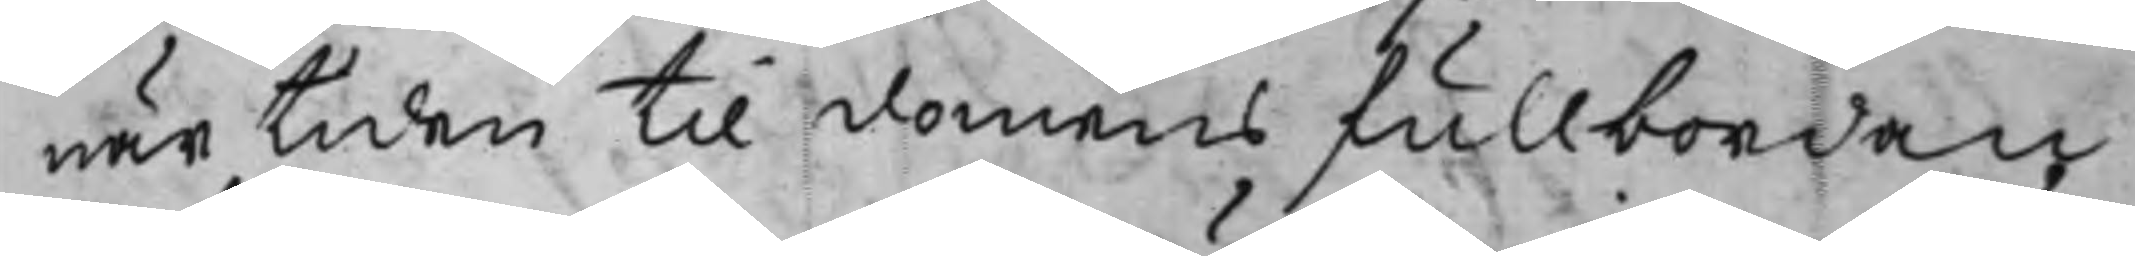när tiden till domens fullbordan
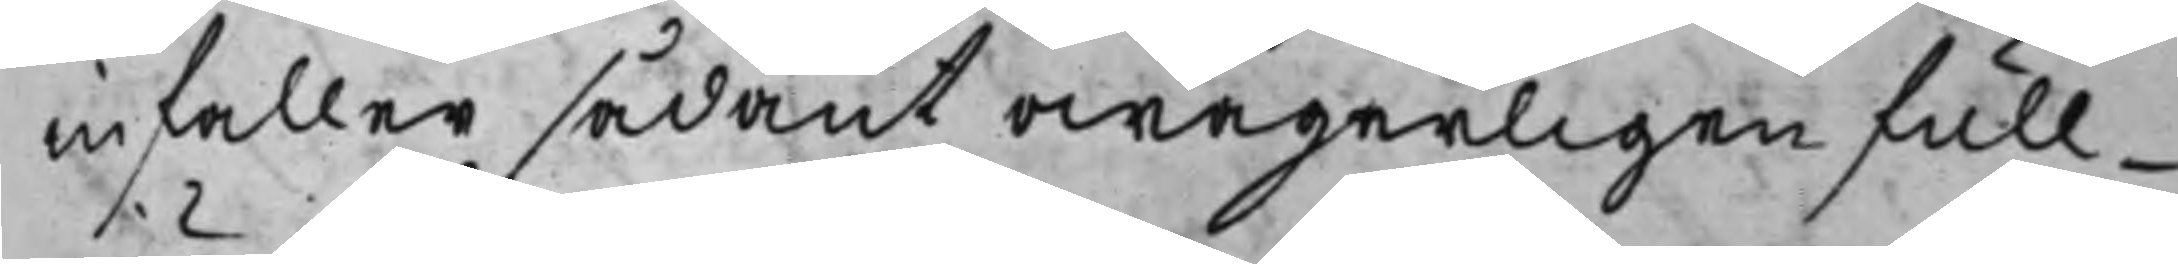infaller sådant owägerligen full¬
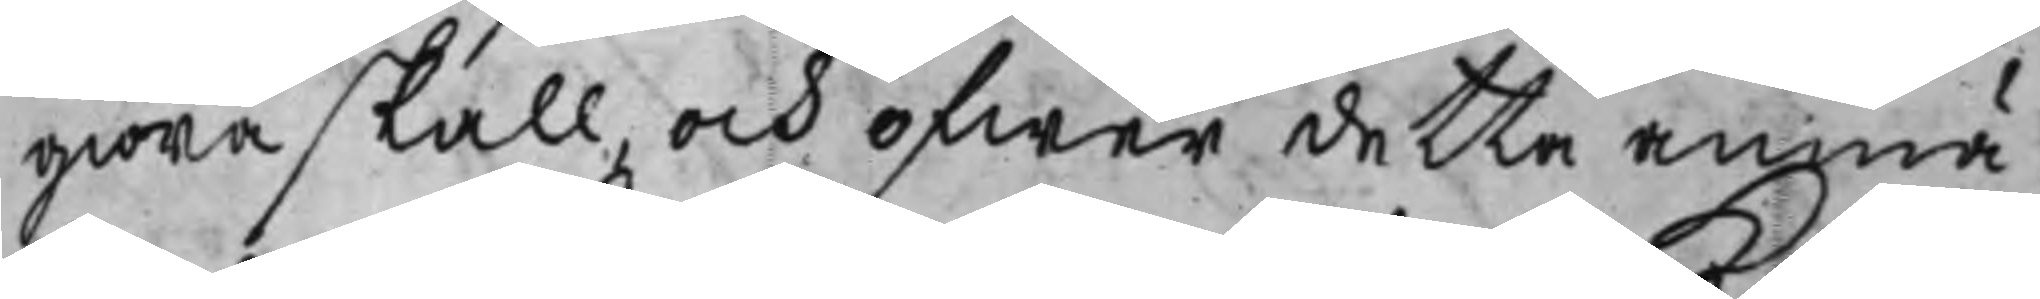giöra skall och öfwer detta anmä¬
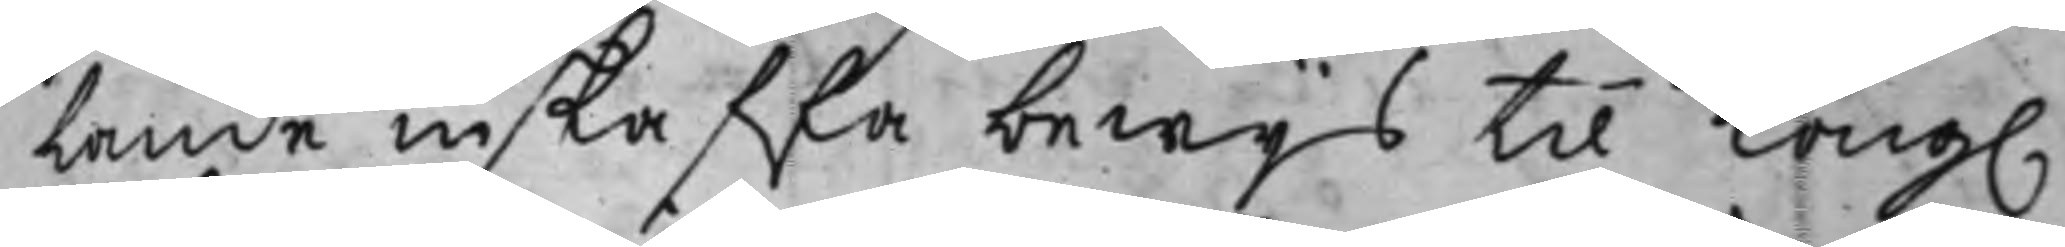lande inskaffa bewijs til Kong.
